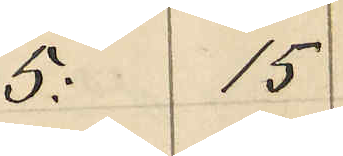5: 15
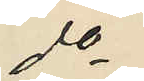do
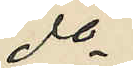do
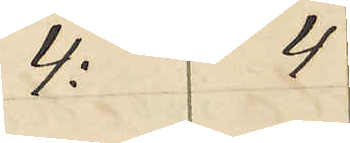4: 4
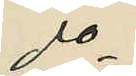do
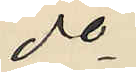do
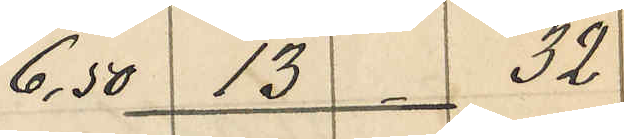6,50 13 32
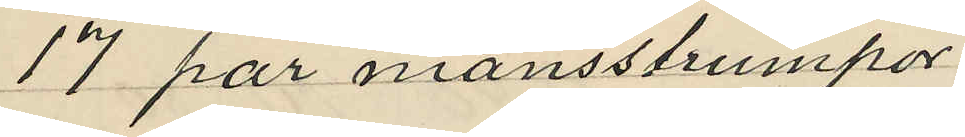17 par mansstrumpor
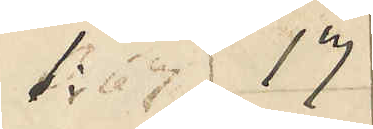1: 17
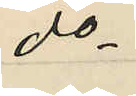do
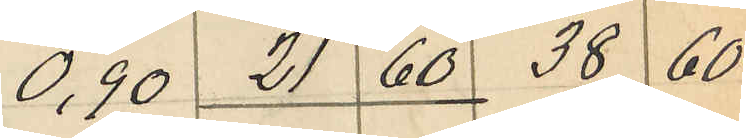0,90 21 60 38 60
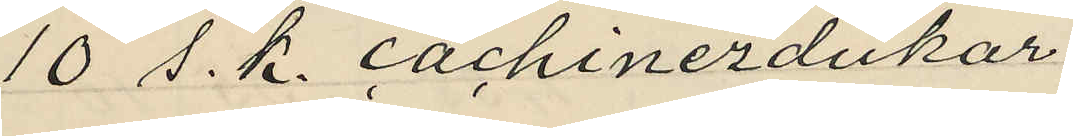10 s. k. cachinezdukar
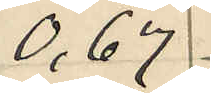0,67
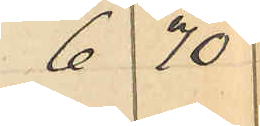6 70
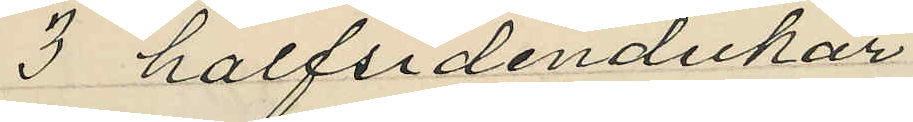3 halfsidendukar
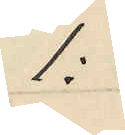1:
